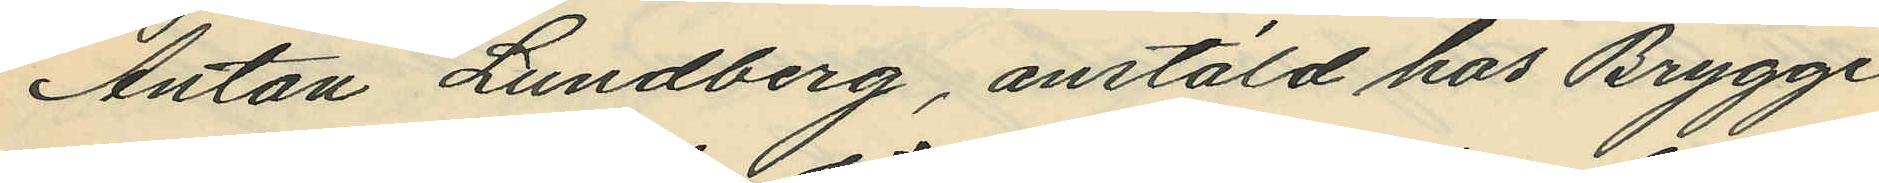Anton Lundberg, anstäld hos Brygge¬
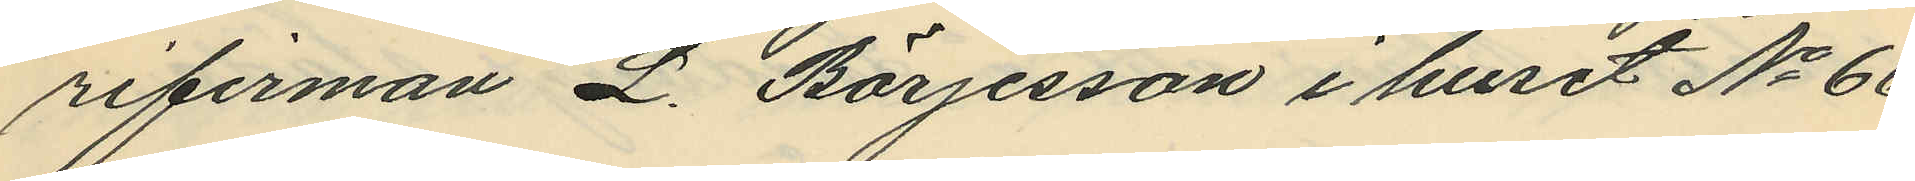rifirman L. Börjesson i huset No 66
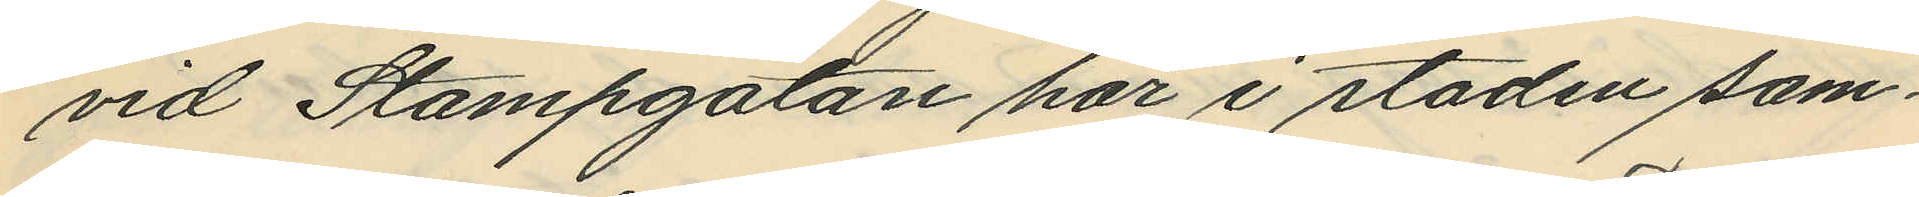vid Stampgatan här i staden sam¬
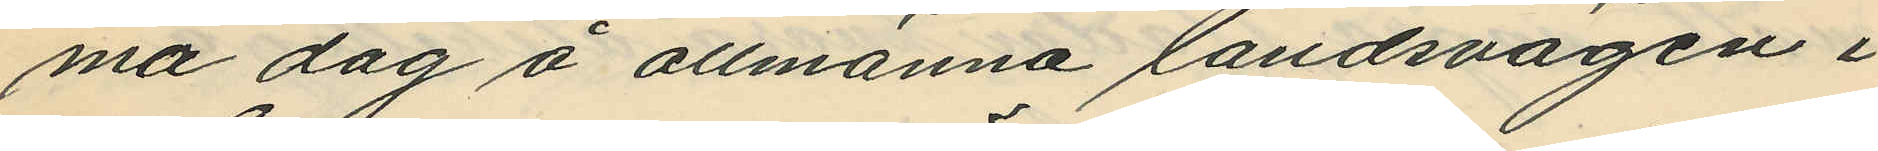ma dag å allmänna landsvägen i
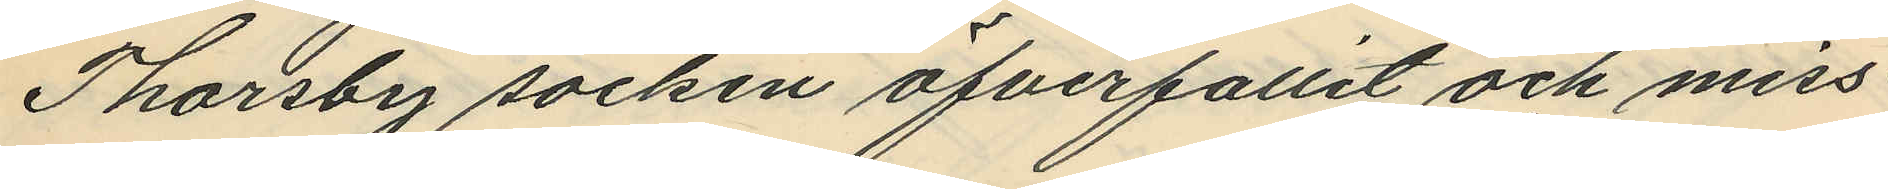Thorsby socken öfverfallit och miss¬
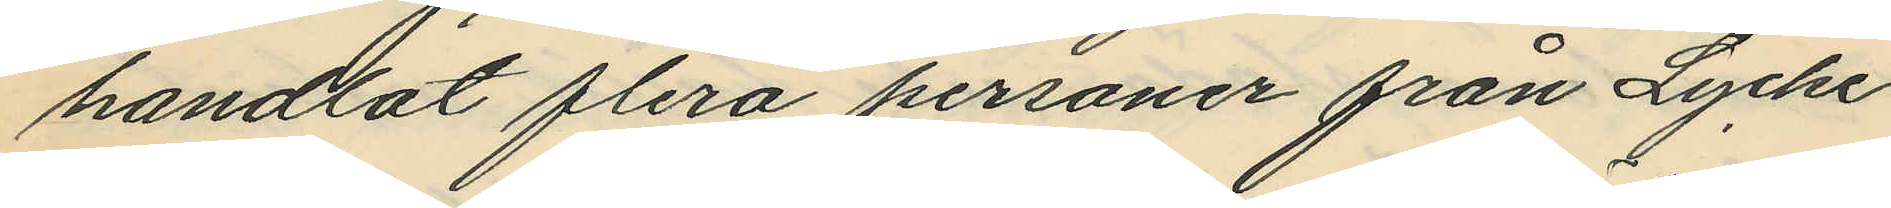handlat flera personer från Lycke
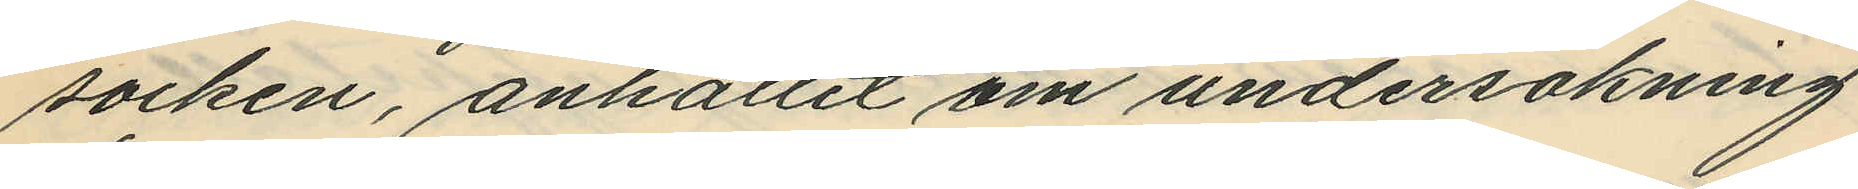socken, anhållit om undersökning
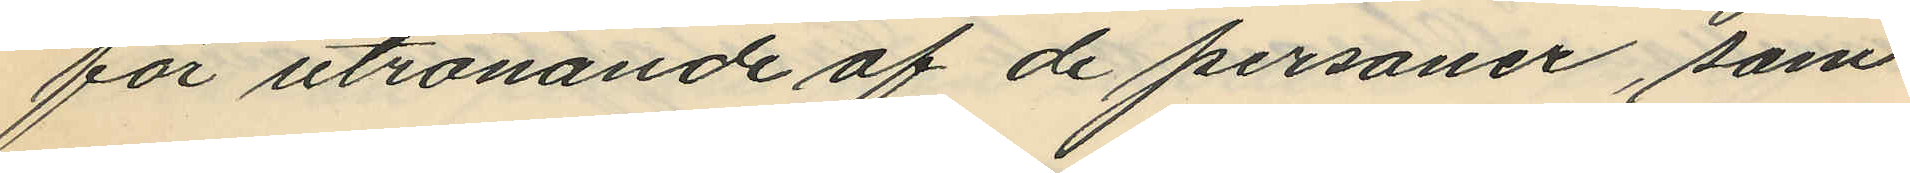för utrönande af de personer, som
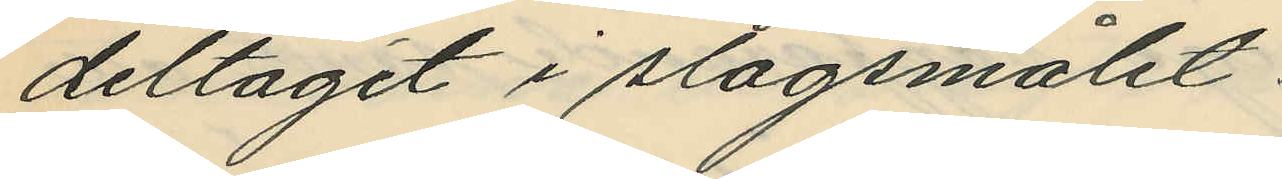deltagit i slagsmålet.
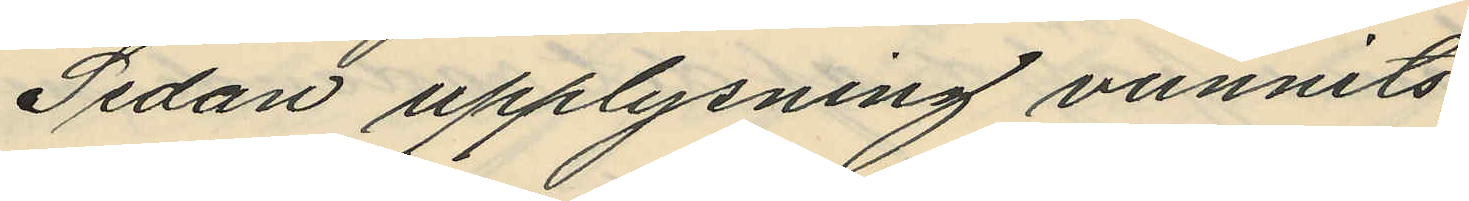Sedan upplysning vunnits,
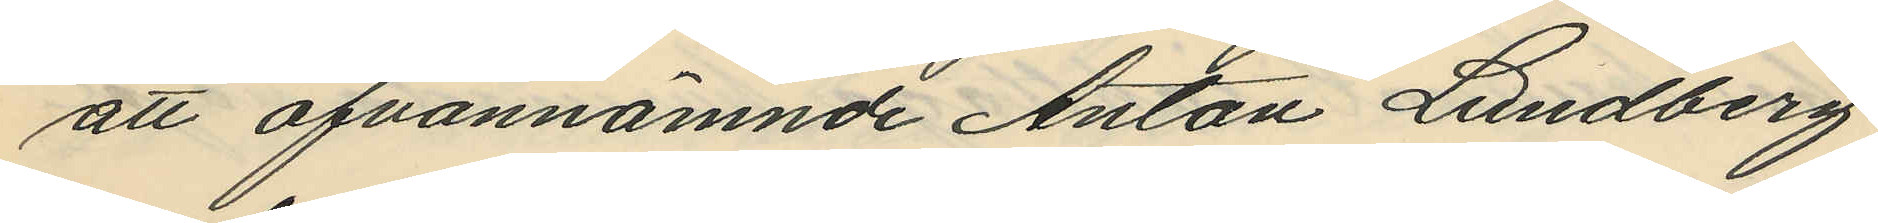att ofvannämnde Anton Lundberg
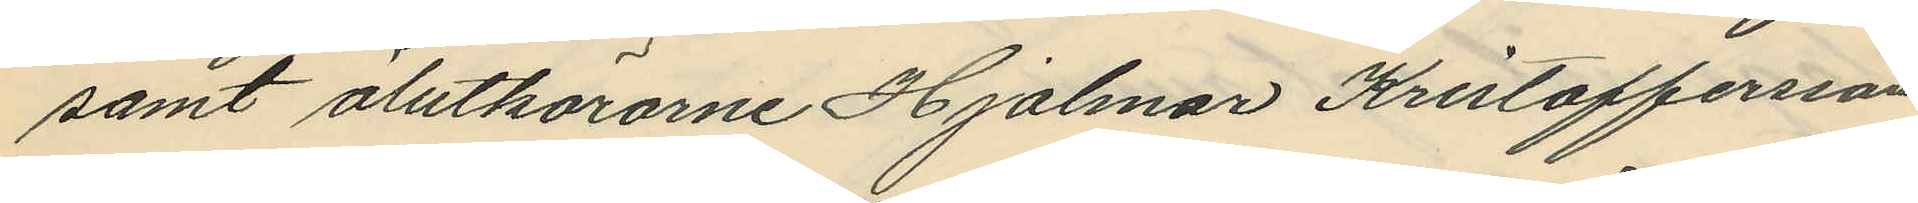samt ölutkörarne Hjalmar Kristoffersson
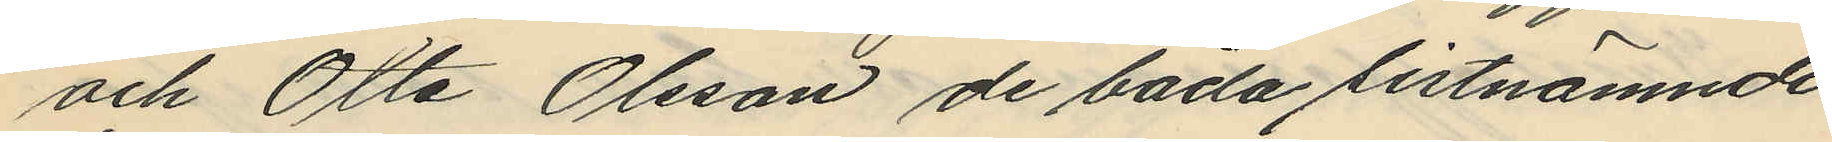och Otto Olsson de båda sistnämnde
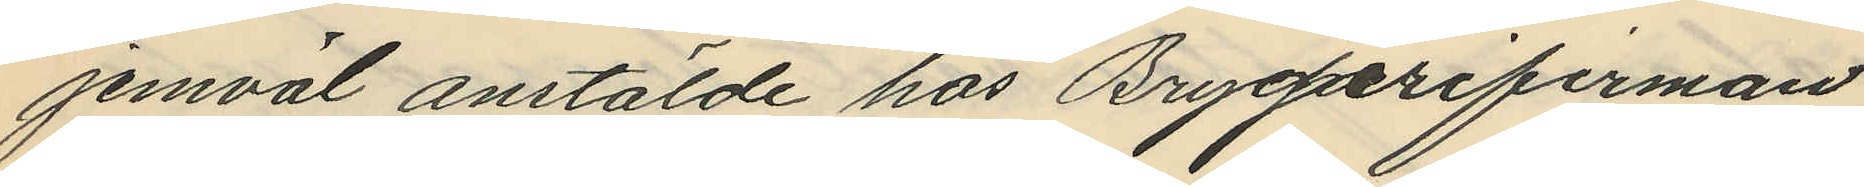jemväl anstälde hos Brygerifirman
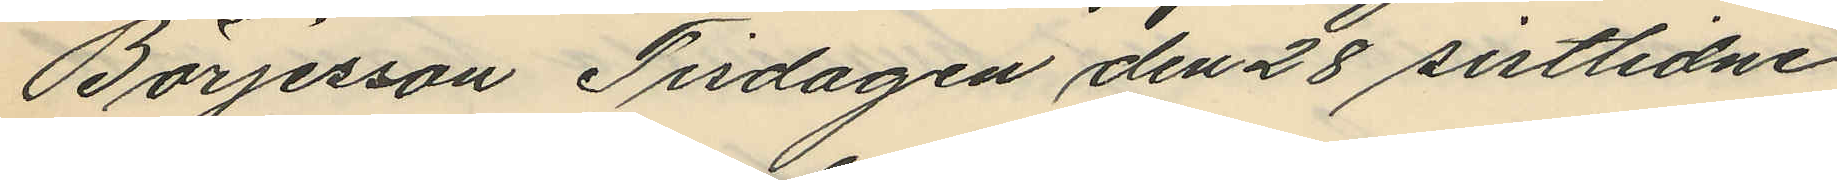Börjesson Tisdagen den 28 sistlidne
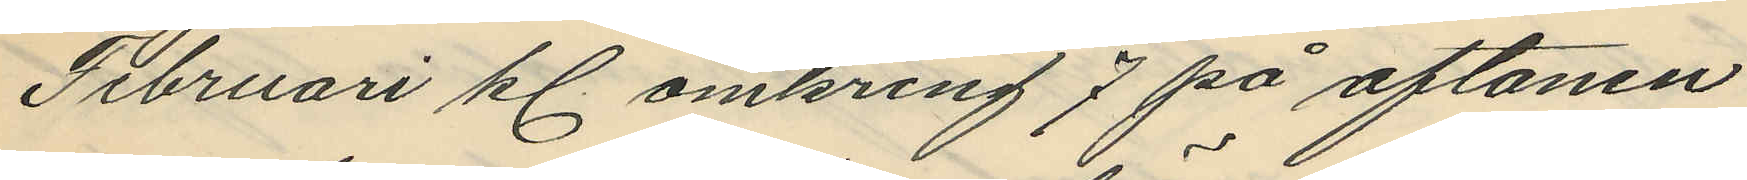Februari kl. omkring 7 på aftonen
